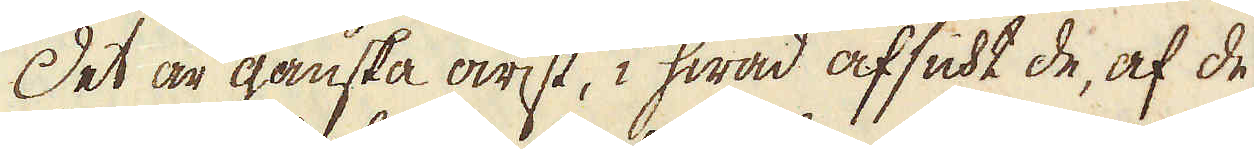Det är ganska owist, i hwad afsikt de, af de
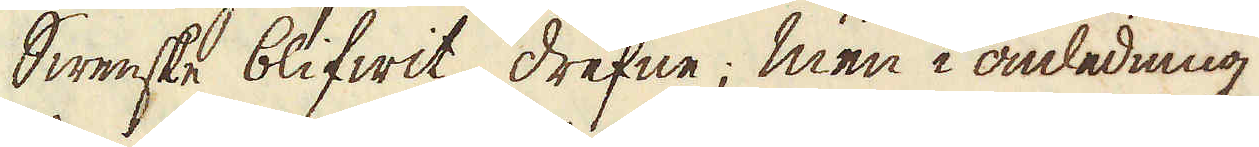Swenske blifwit drefne; men i anledning
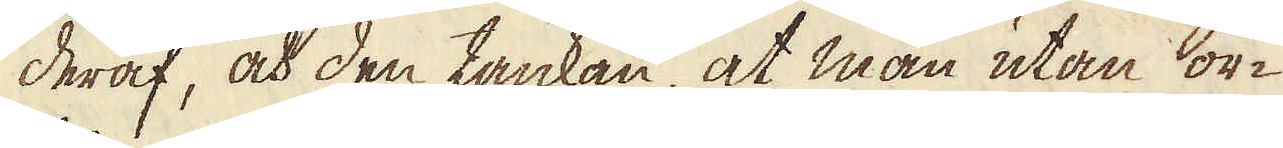deraf, och den tankan at man utan or-
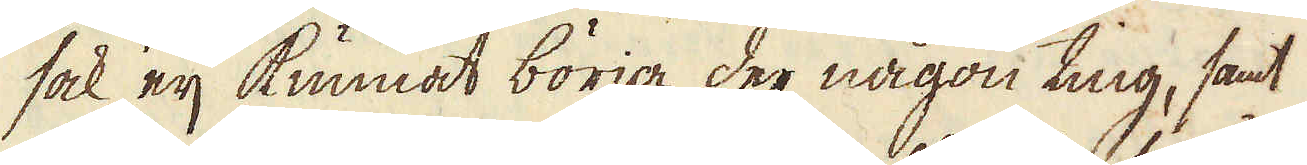sak eij kunnat börja der någon ting, samt
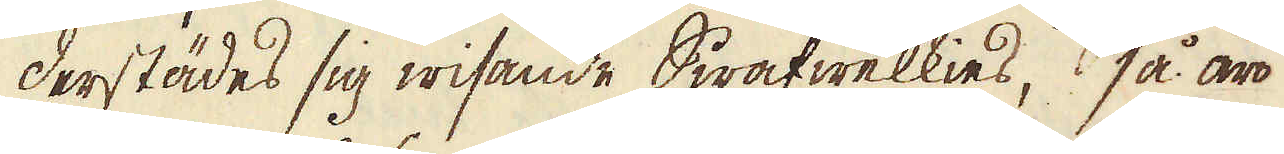derstädes sig wisande Swafwelkies, så äro
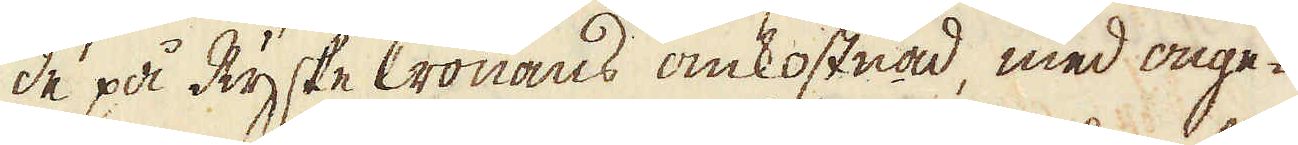de på Ryske Cronans omkostnad, med onge-
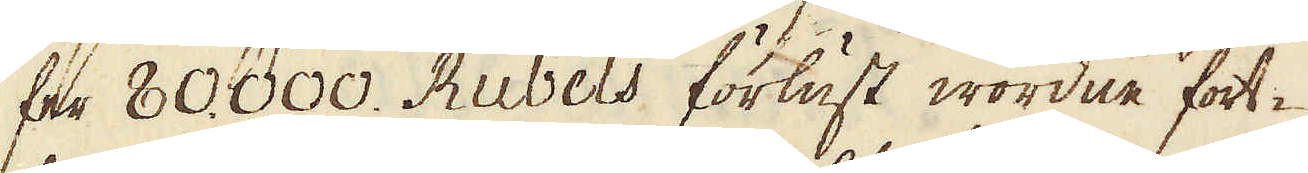fer 80.000. Rubels förlust wordne fort-
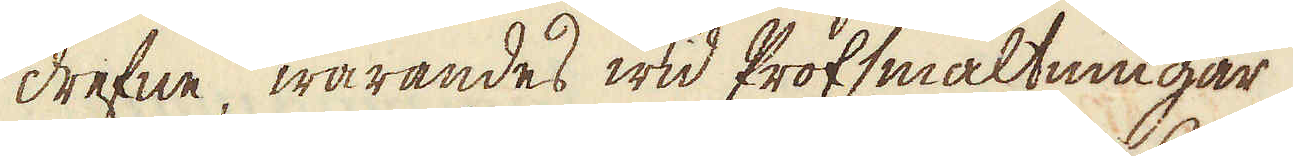drefne, warandes wid Profsmältningar
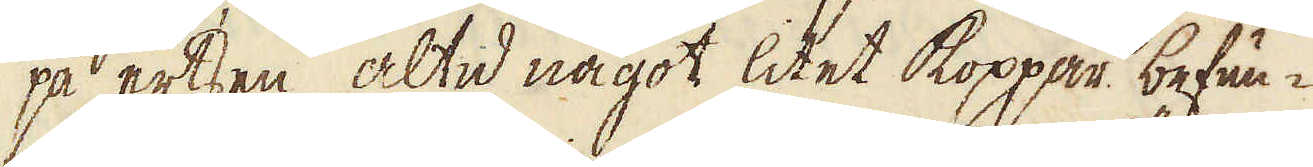på ertsen, altid något litet koppar befun-
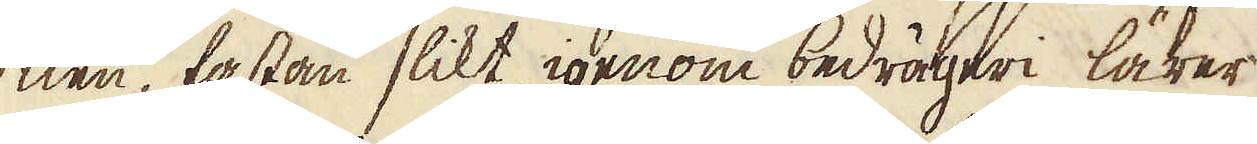nen fastän slikt igenom bedrägeri lärer
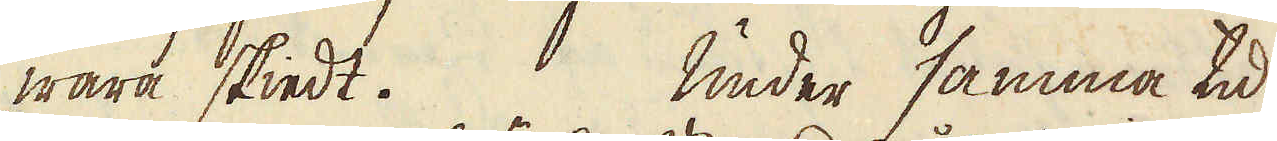wara skiedt. Under samma tid
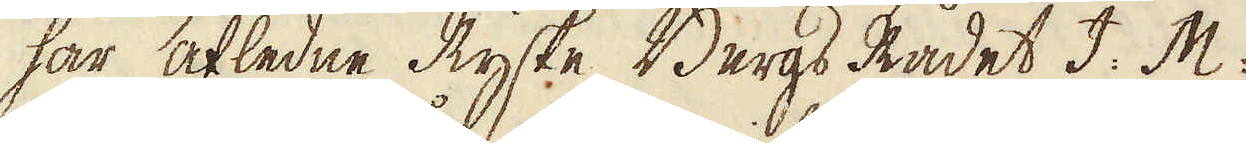har afledne Ryske Bergs Rådet I: M:
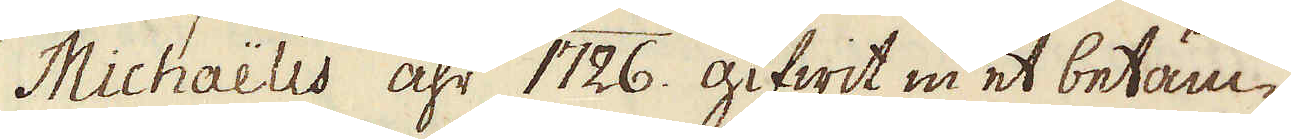Michaëlis åhr 1726. gifwit in et betän-
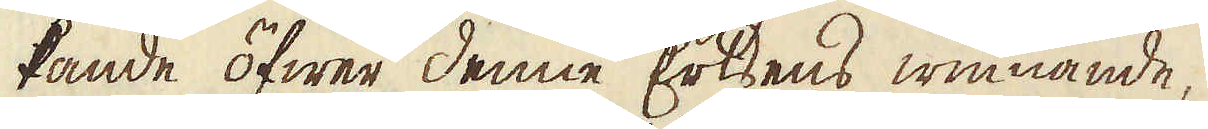kande öfwer denne Ertsens winnande,
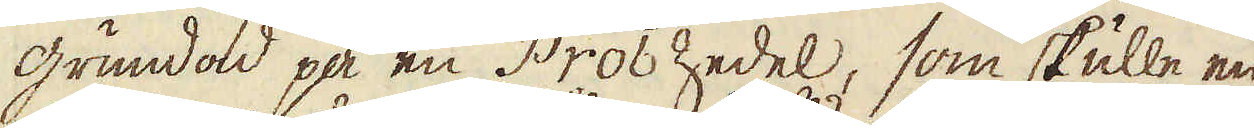grundad på en Prob Zedel, som skulle en
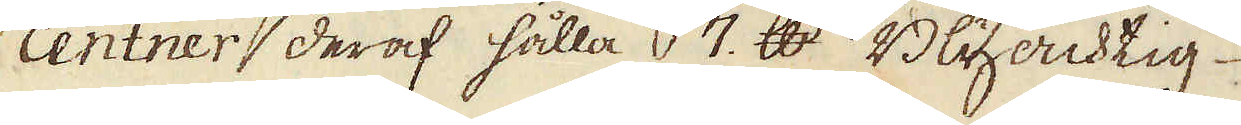centner deraf hålla 7. skålpund Blyacktig
